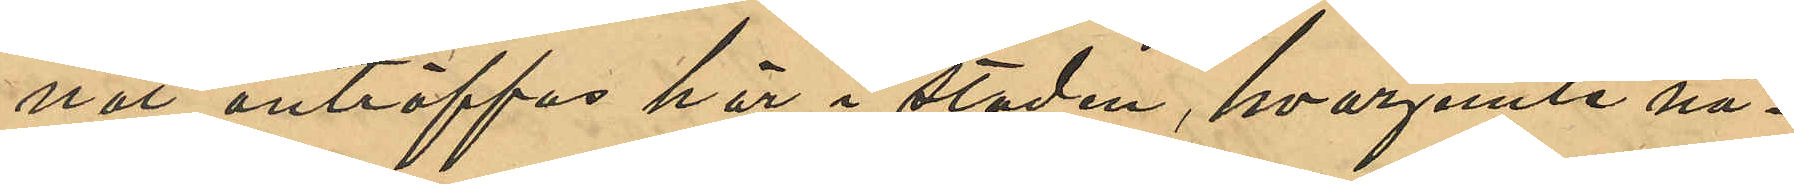nat anträffas här i staden, hvarjemte nå¬
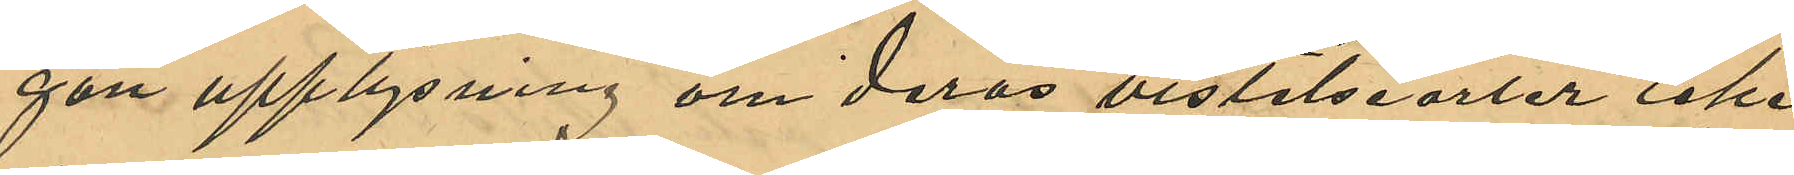gon upplysning om deras vistelseorter icke
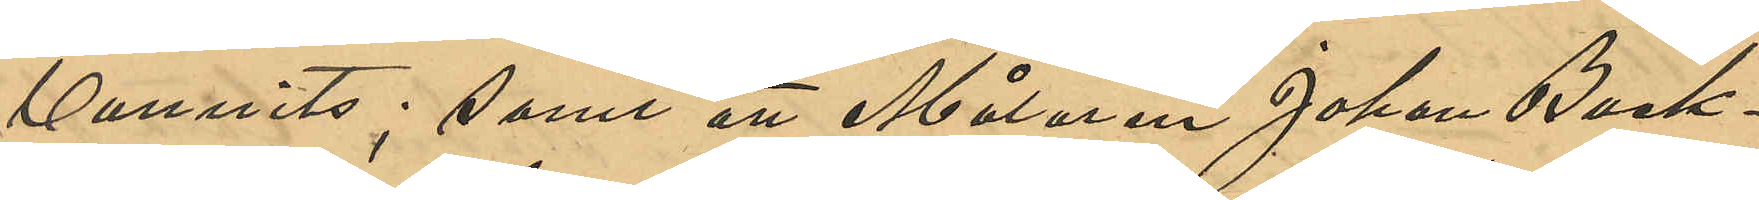vunnits; samt att Målaren Johan Back¬
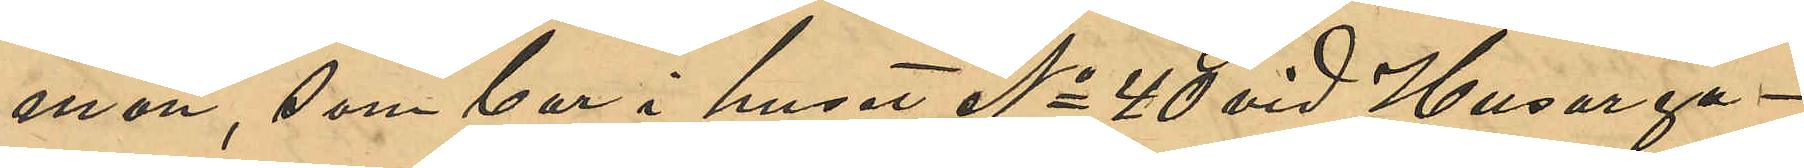man, som bor i huset No 40 vid Husarga¬
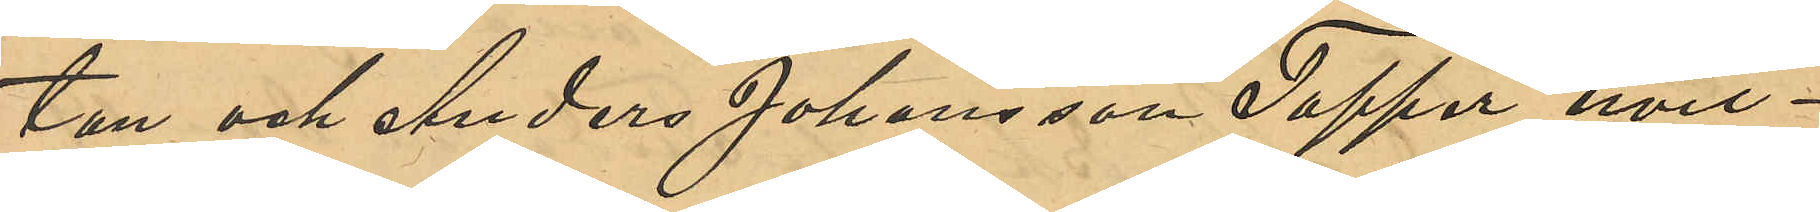tan och Anders Johansson Tapper, hvil¬
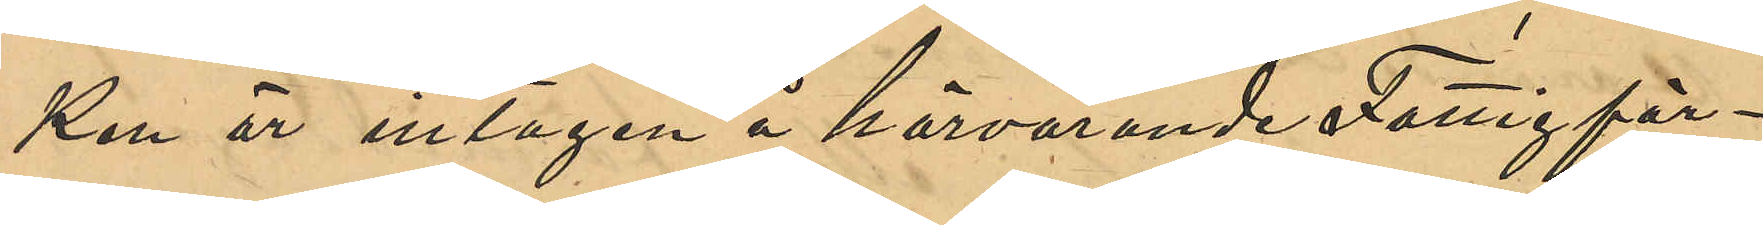ken är intagen å härvarande Fattigför¬
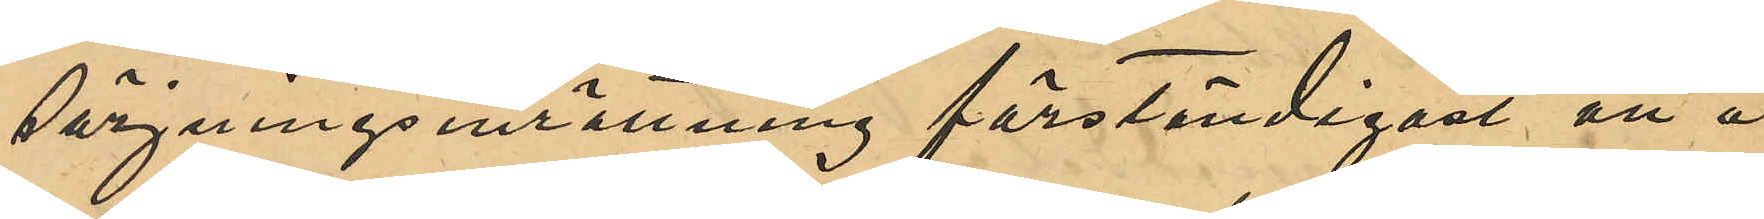sörjningsinrättning förständigast att å
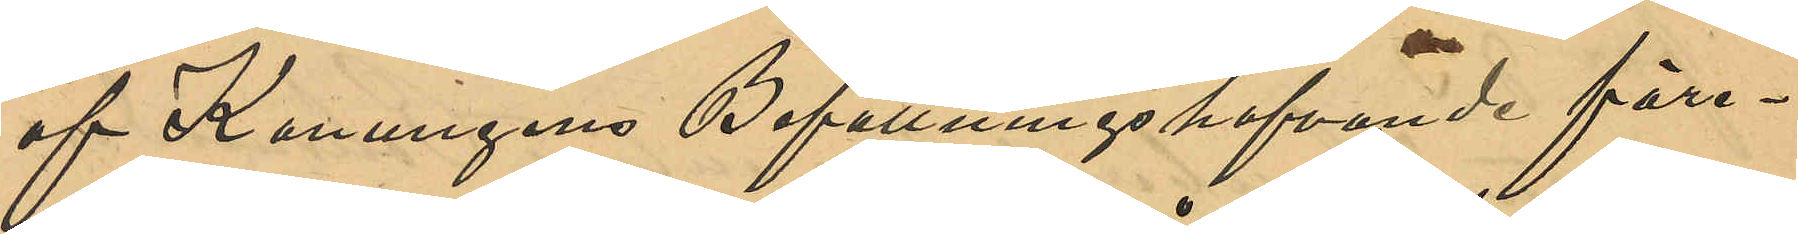af Konungens Befallningshafvande före¬
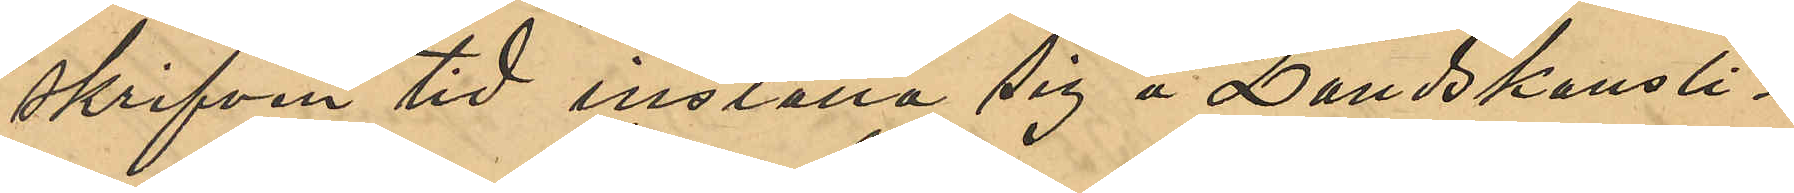skrifven tid inställa sig å Landskansli¬
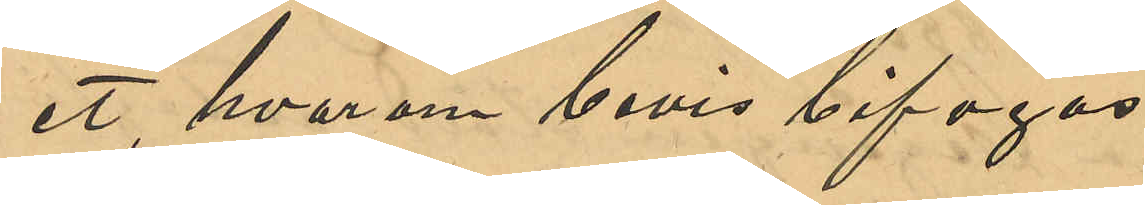et, hvarigenom bevis bifogas.
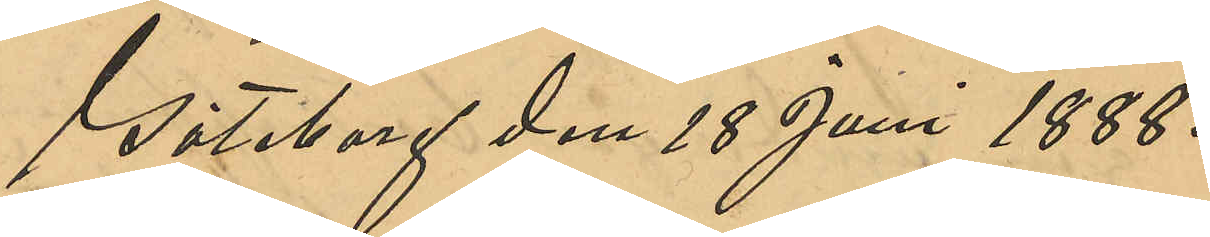Göteborg den 18 Juni 1888.
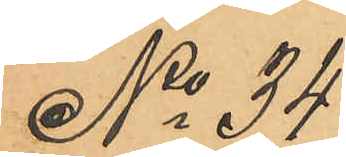No 34
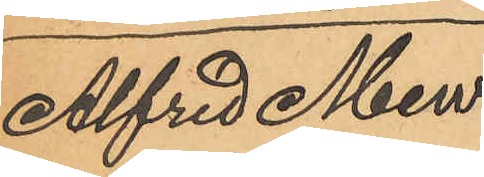Alfred Mew.
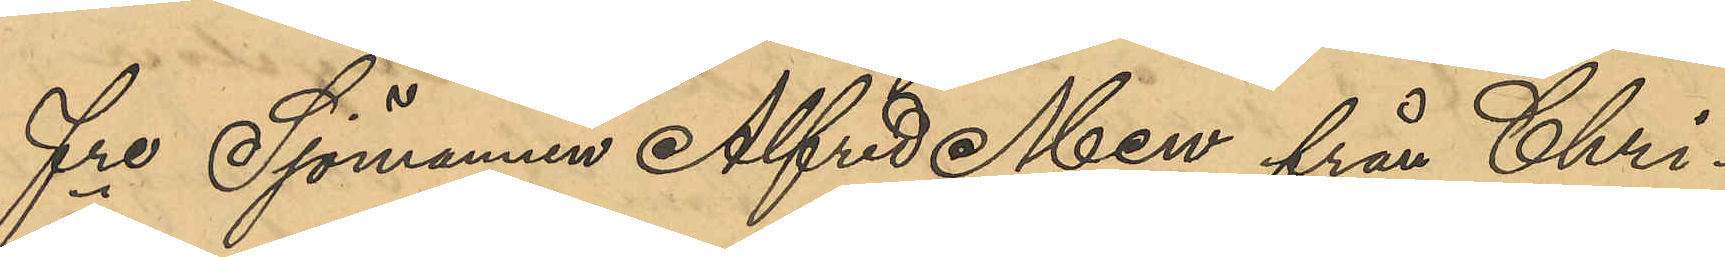Fre Sjömannen Alfred Mew från Chri¬
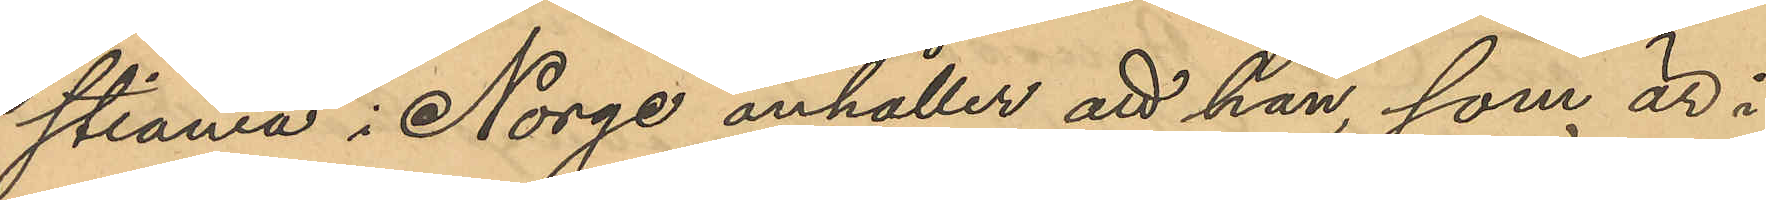stiania i Norge anhåller att han, som är i
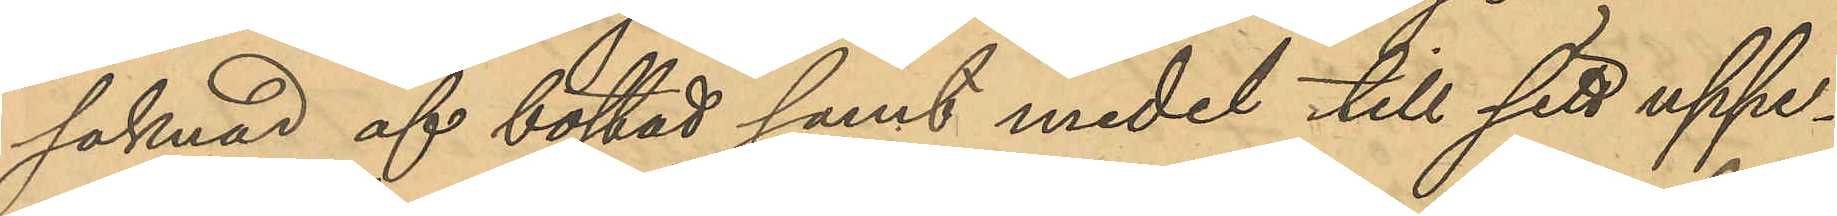saknad af bostad samt medel till sitt uppe¬
